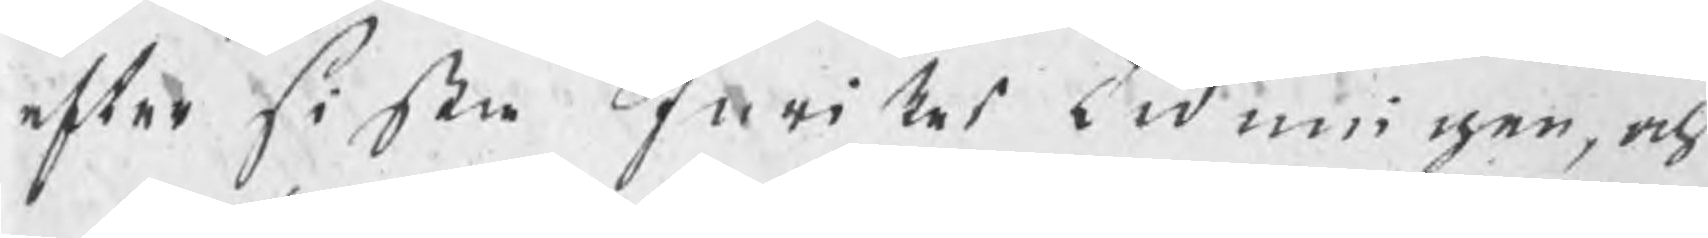efter sista Inrikes tidningar, och
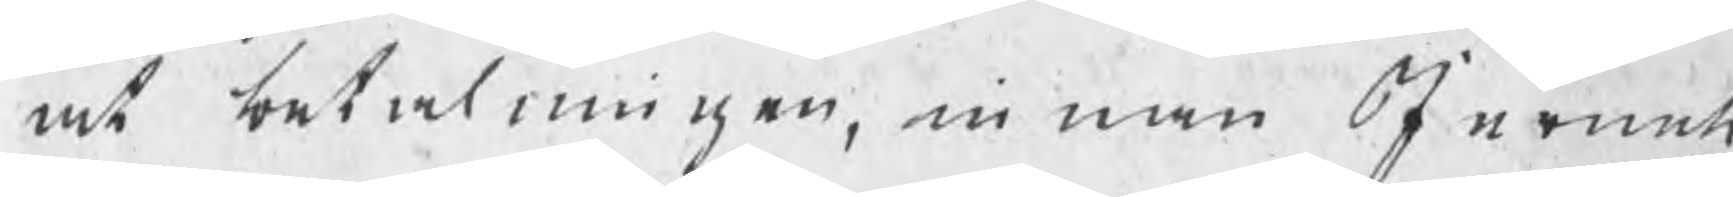at betalningen, innan Jernets
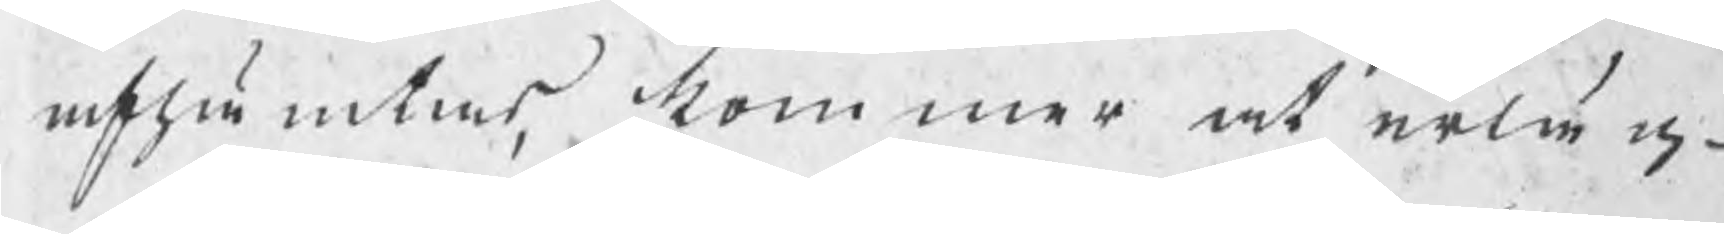afhämtas, kommer at erläg¬
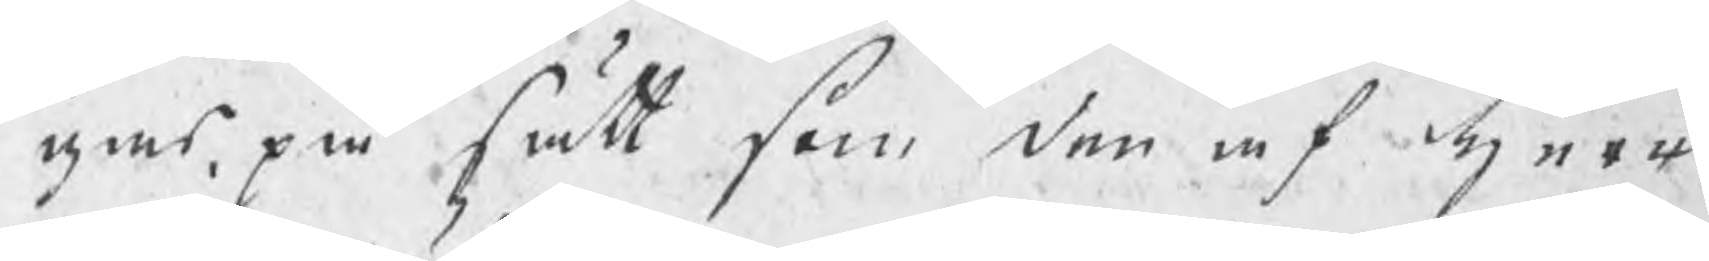gas, på sätt som den af herr
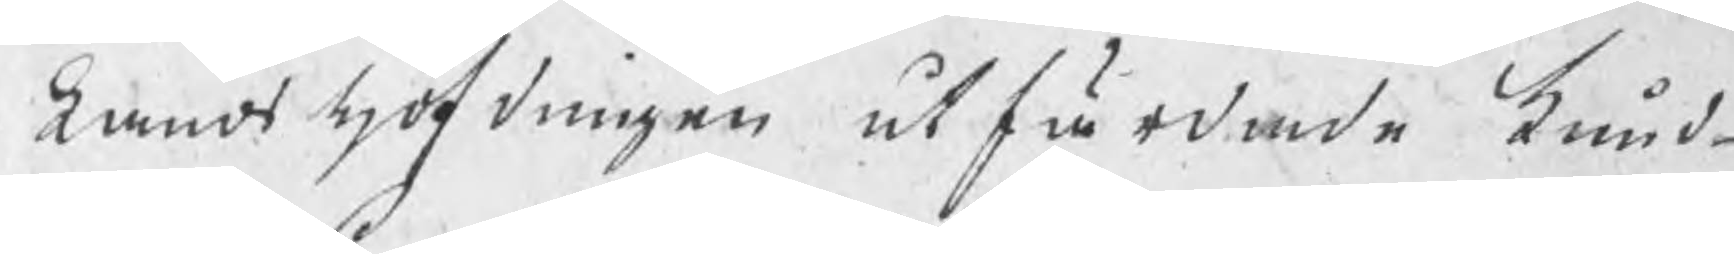Landshöfdingen utfärdade kund¬
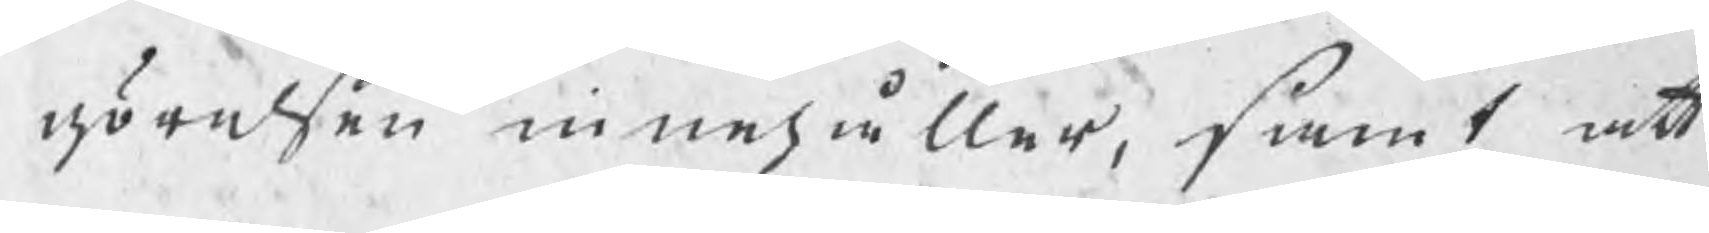görelsen innehåller, samt att
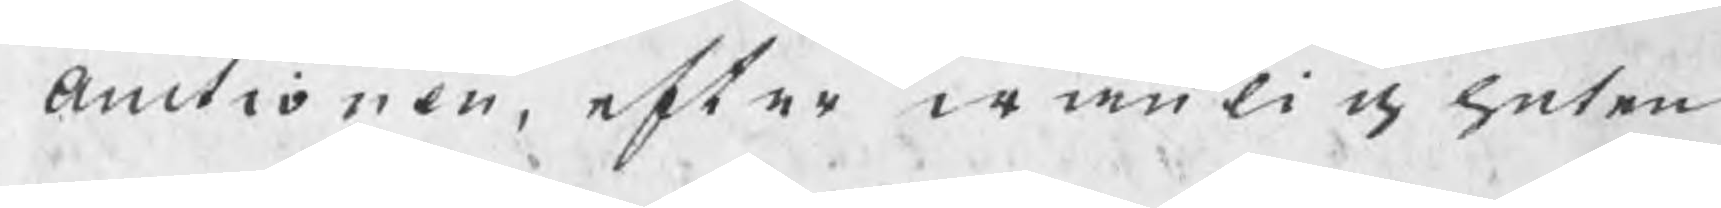auctionen, efter wanligheten
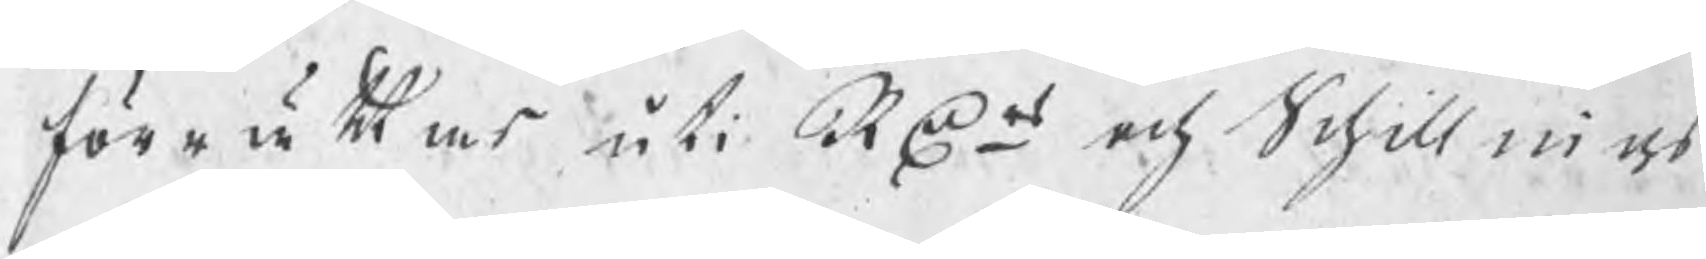förrättas uti RDr och Schillings
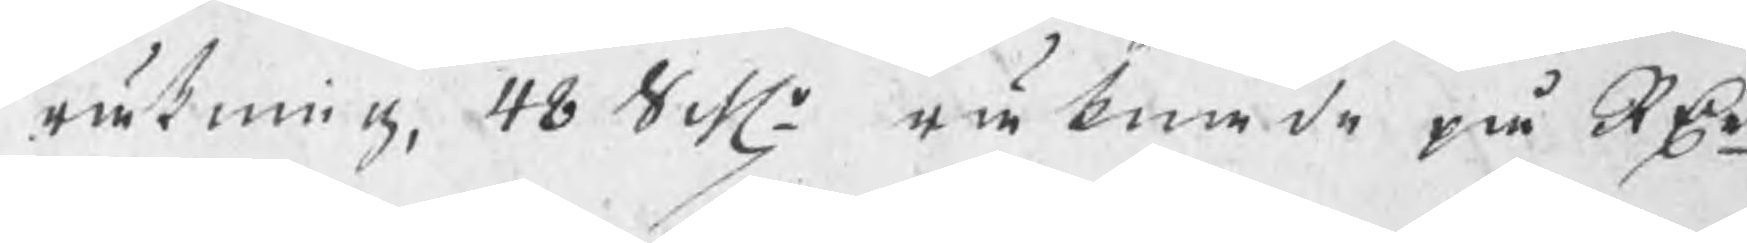räkning, 48 Schr räknade på RDrn
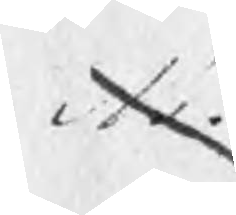Si
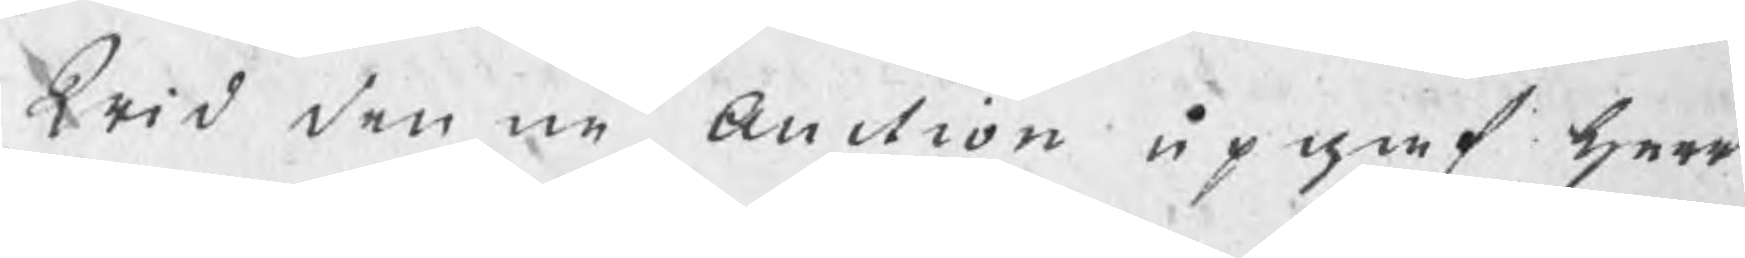Wid denne Auction upgaf herr 
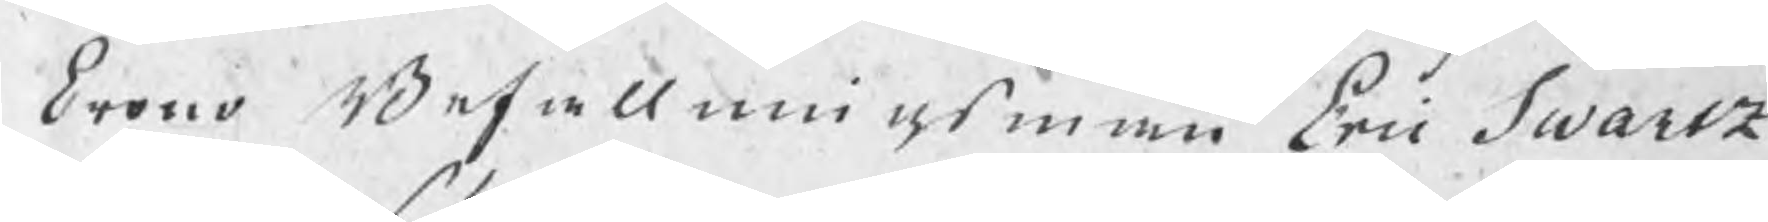Crono Befallningsman Eric Swartz
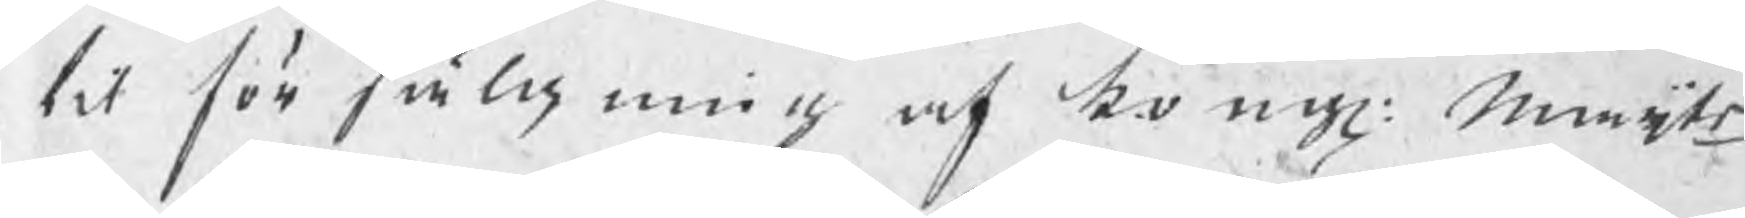til försälgning af kongl: maijts
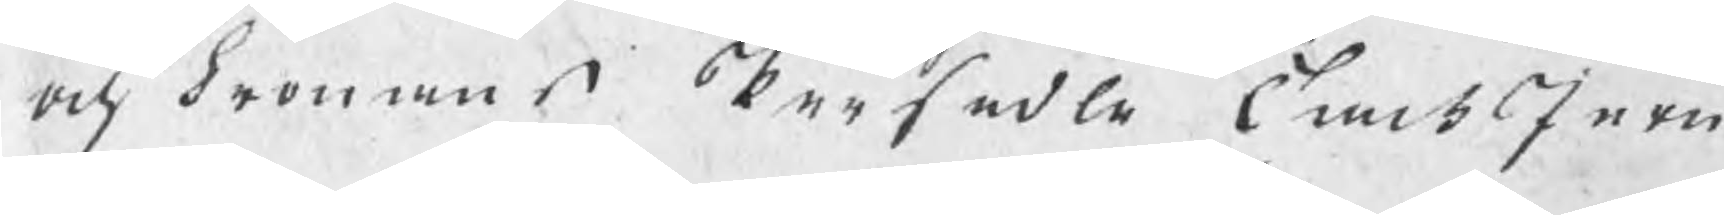och Cronans Persedle TackJern
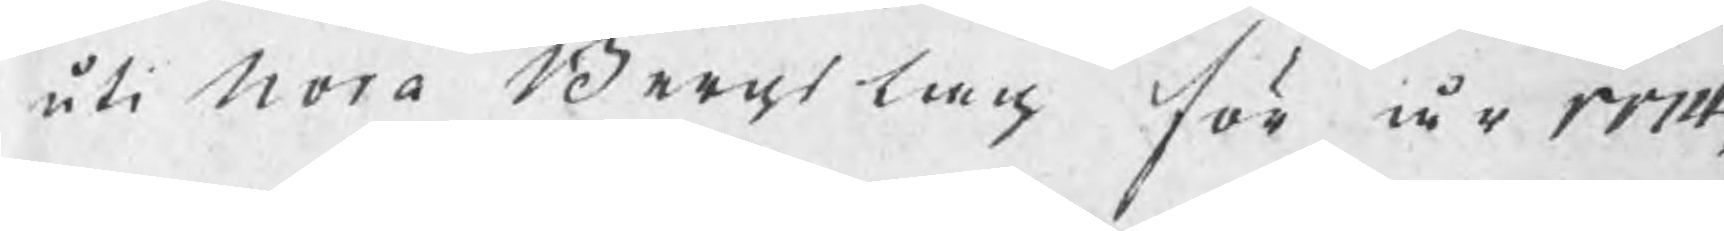uti Nora Bergslag för år 1774,
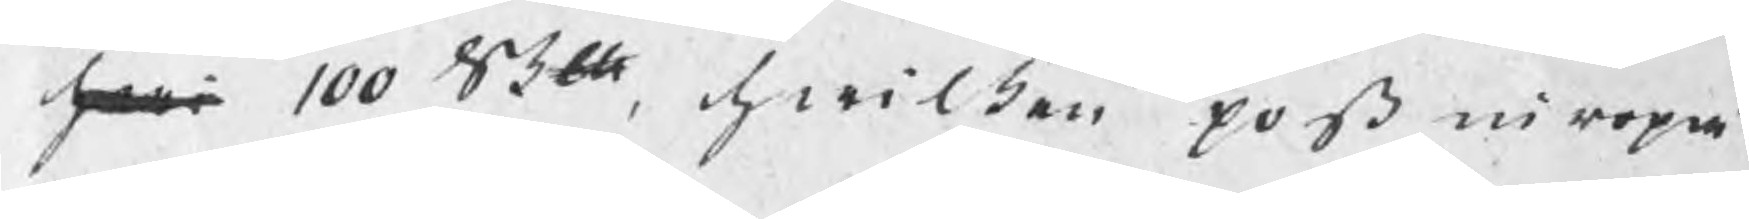hwi 100 Skdh, hwilken post inropa¬
